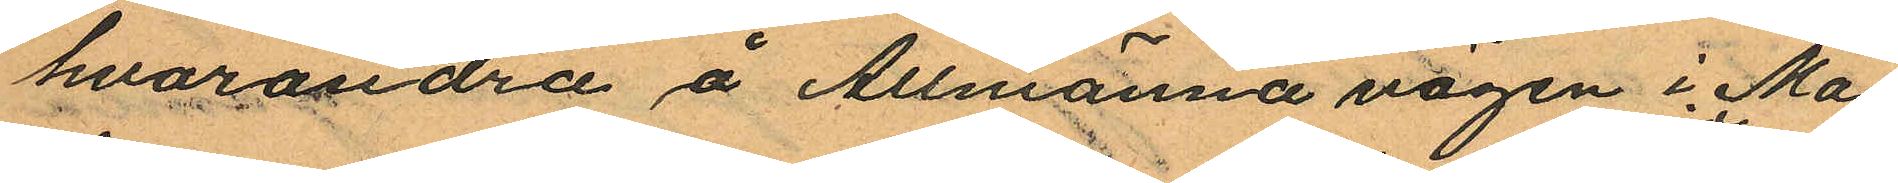hvarandra å Allmänna vägen i Ma¬
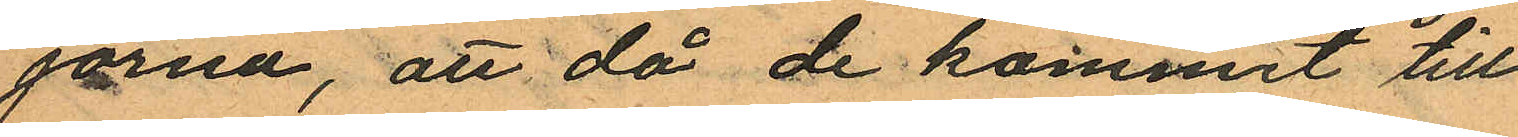jorna, att då de kommit till
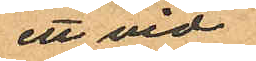ett vid
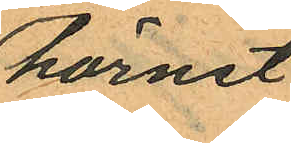hörnet
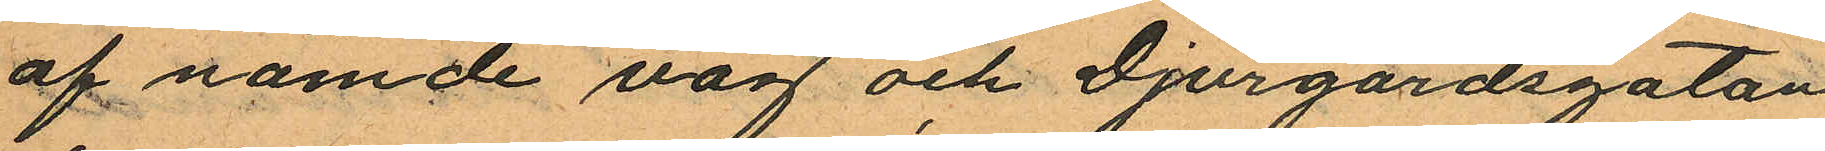af nämde väg och Djurgardsgatan
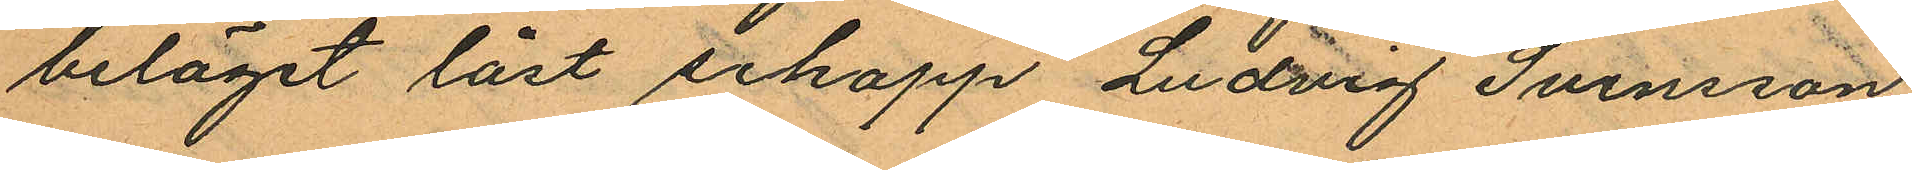beläget låst schapp Ludvig Svensson
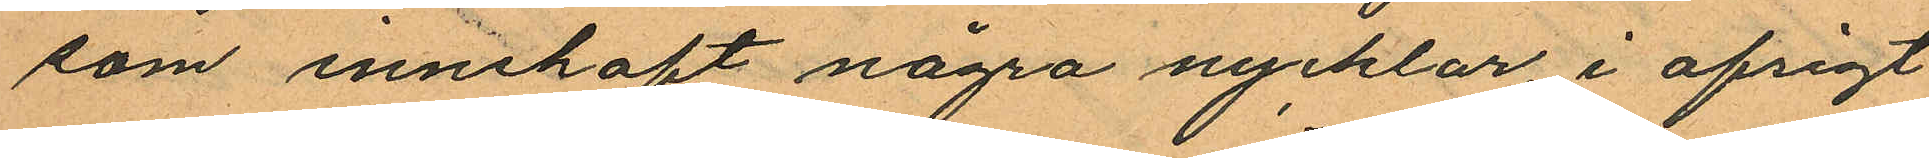som innehaft några nycklar, i afrigt
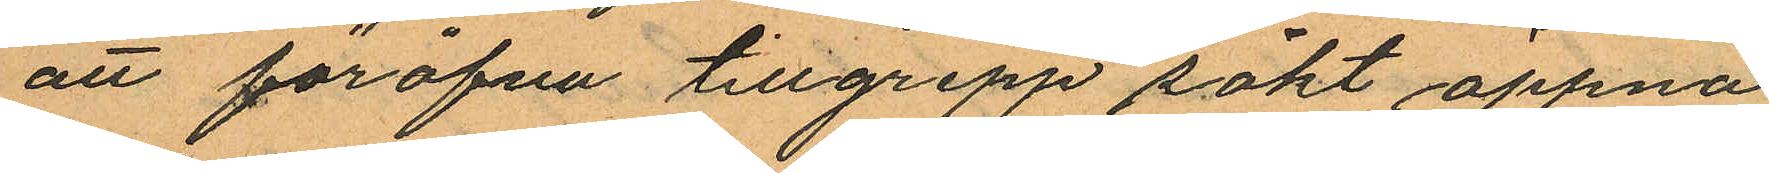att föröfva tillgrepp sökt öppna
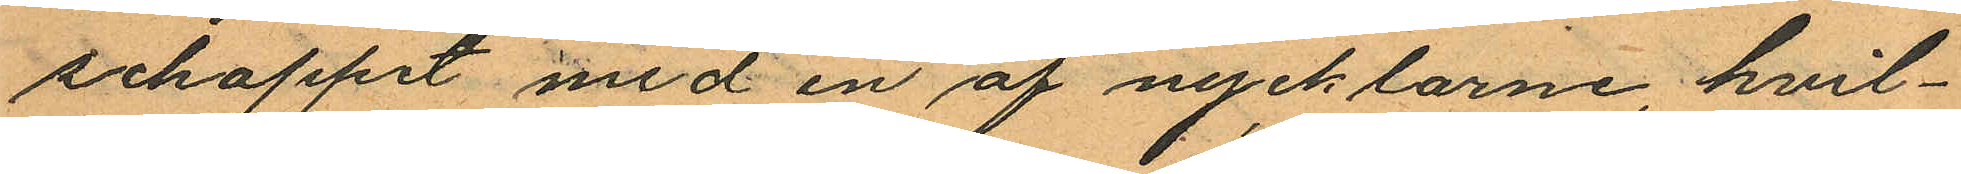schappet med en af nycklarne, hvil¬
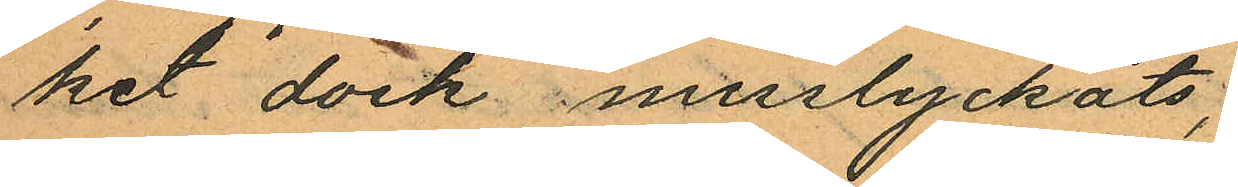ket dock misslyckats;
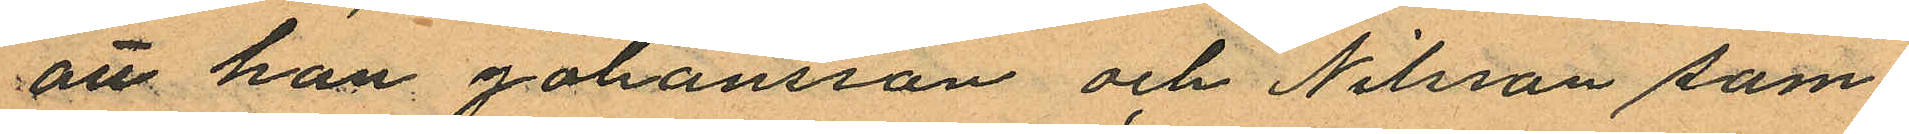att han Johansson och Nilsson sam¬
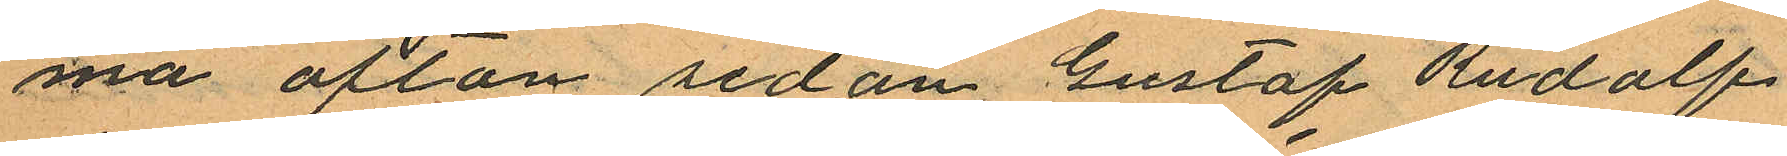ma afton sedan Gustaf Rudolf
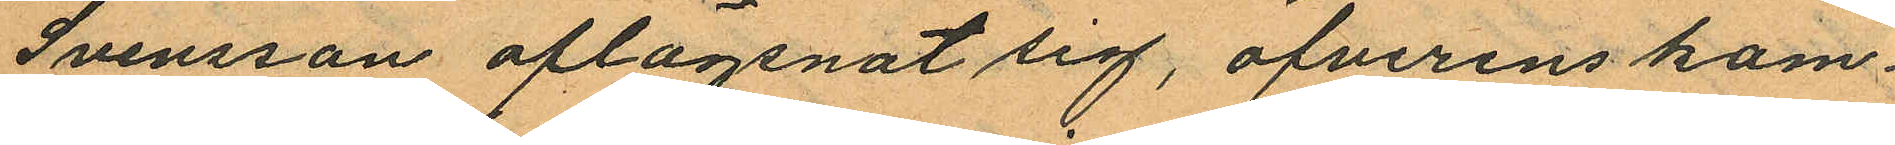Svensson aflägsnat sig, öfverenskom¬
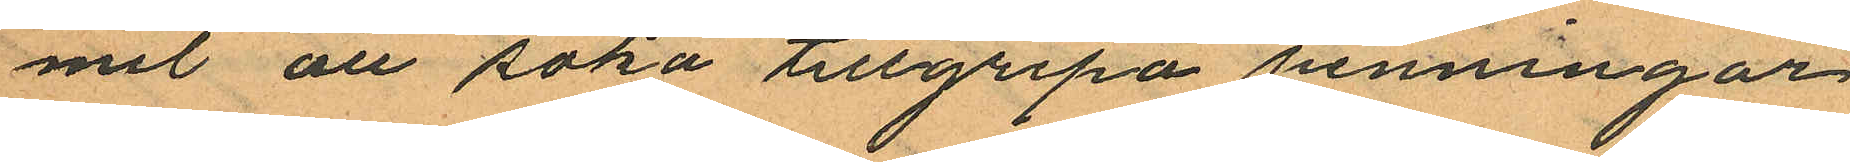mit att söka tillgripa penningar
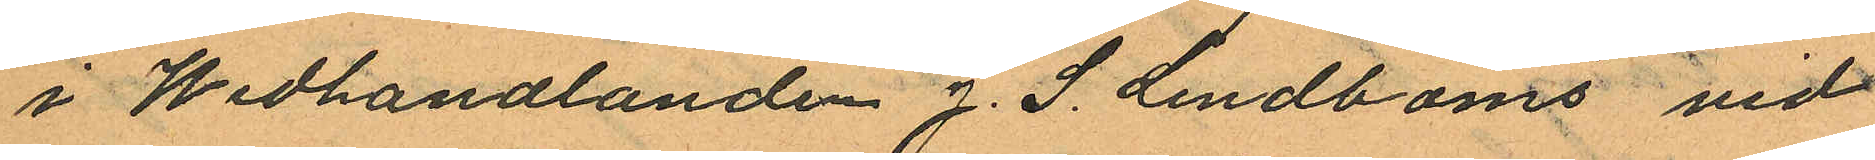i Wedhandlanden J. S. Lindboms vid
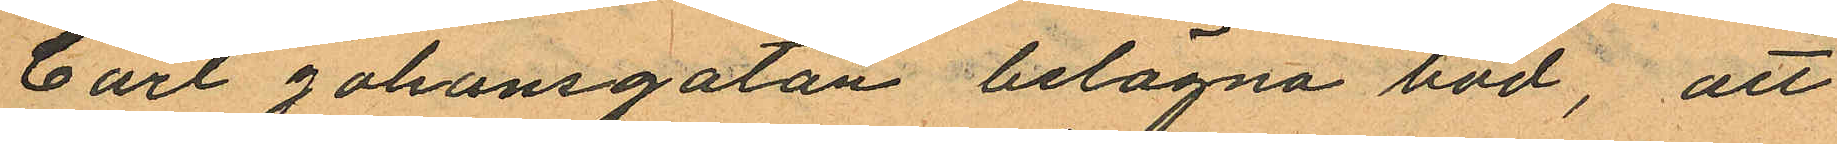Carl Johansgatan belägna bod, att
